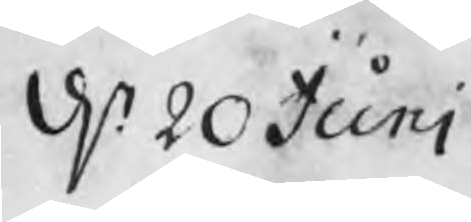d. 20 Juni
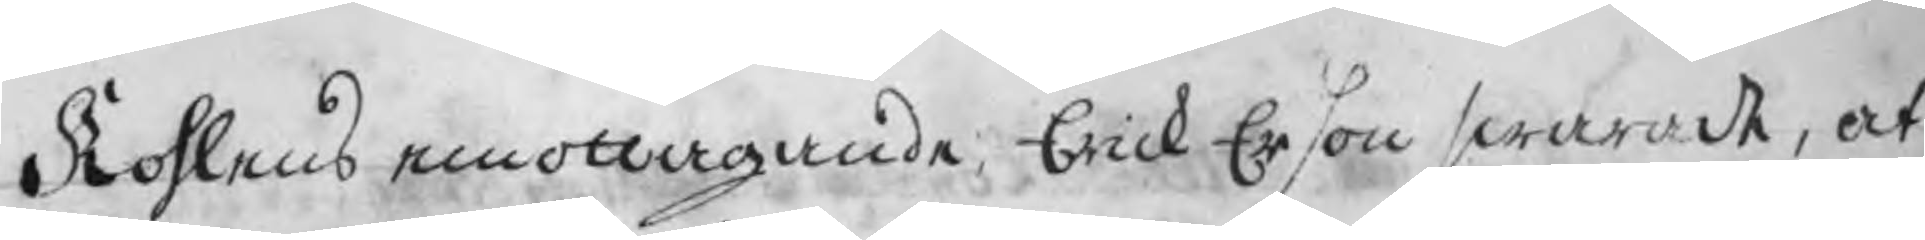Kohlens emottagande, Erick Erson swarade, at
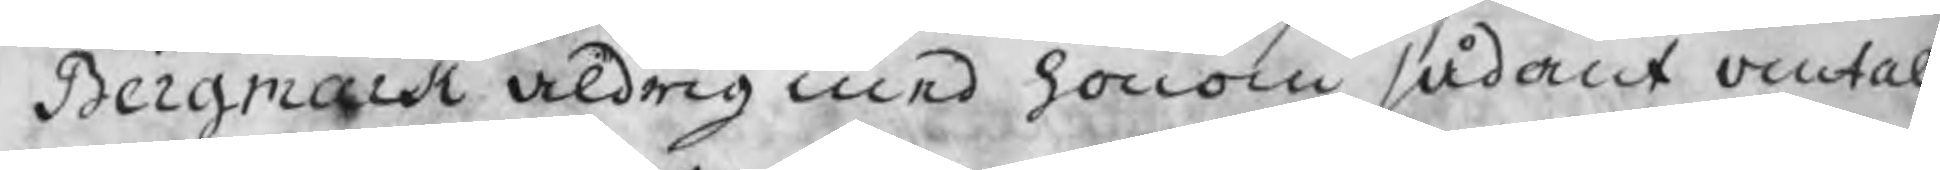Bergmark aldrig med honom sådant omtalt
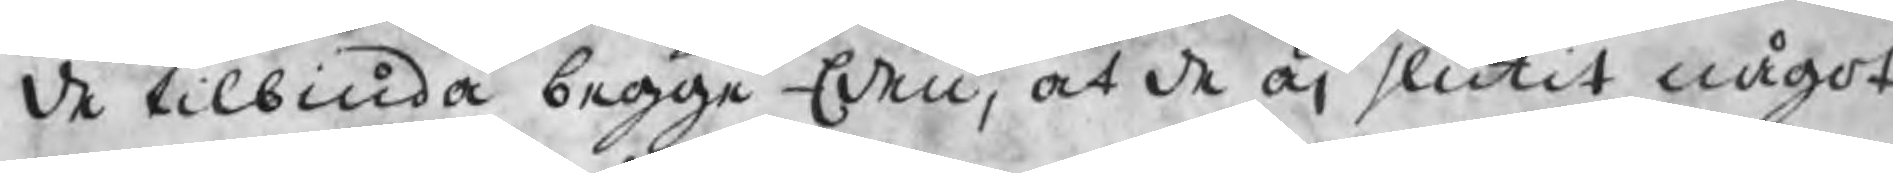de tilbiuda begge Eden, at de äj slutit något
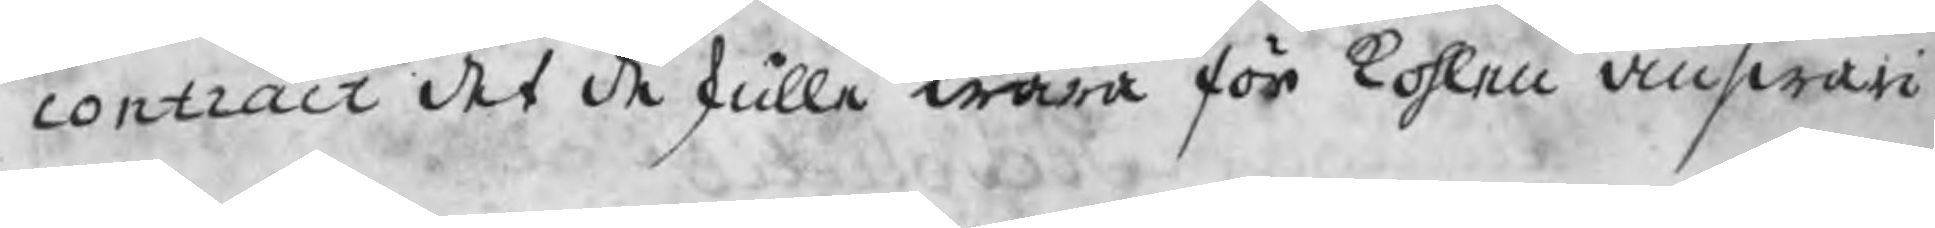contract det de skulle wara för kohlen answari-
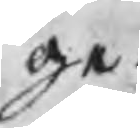ge.
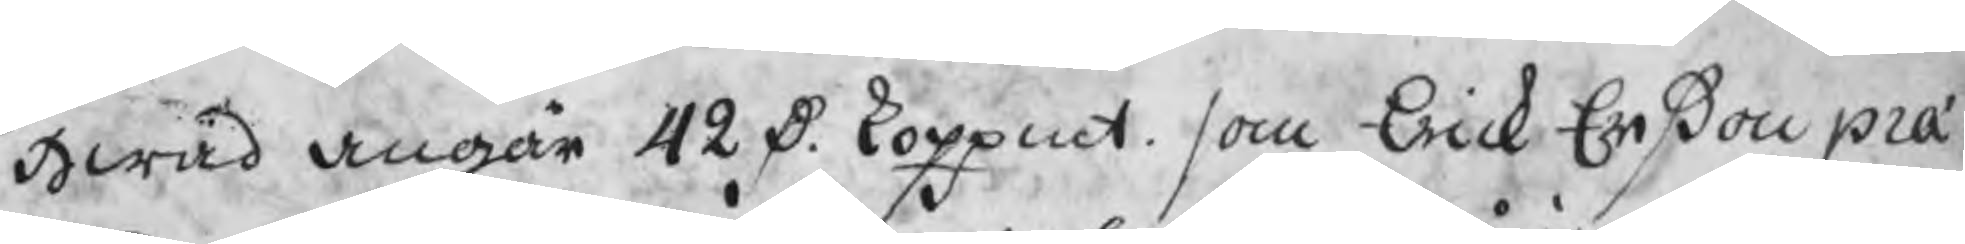Hwad angår 42 D. koppmt. som Erick Erßon pra'-
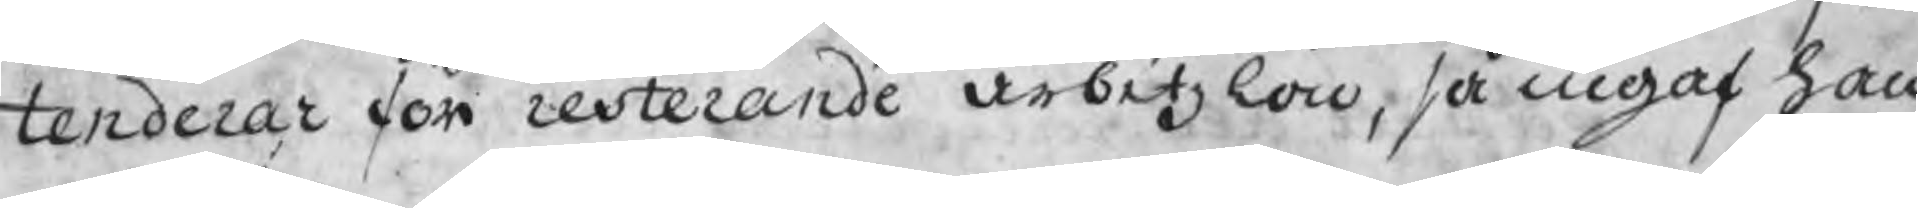tenderar för resterande arbetzlön, så ingaf han
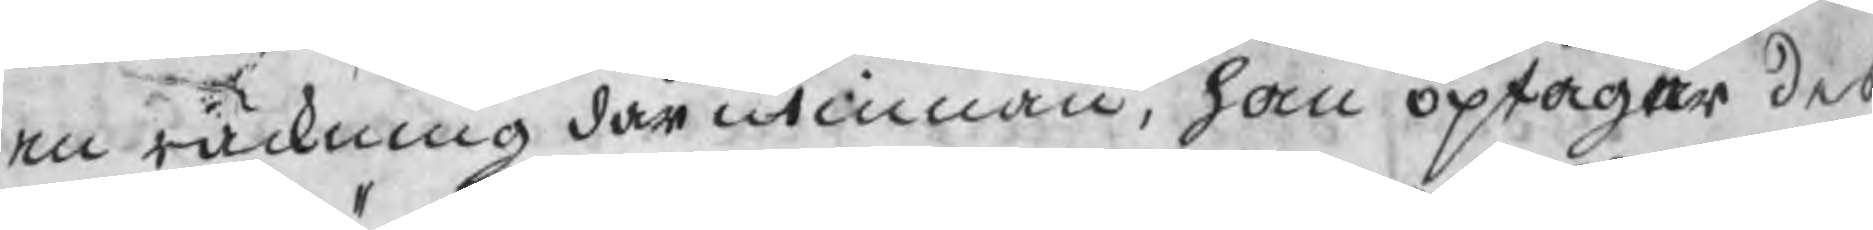en räckning där utinnan, han optager des
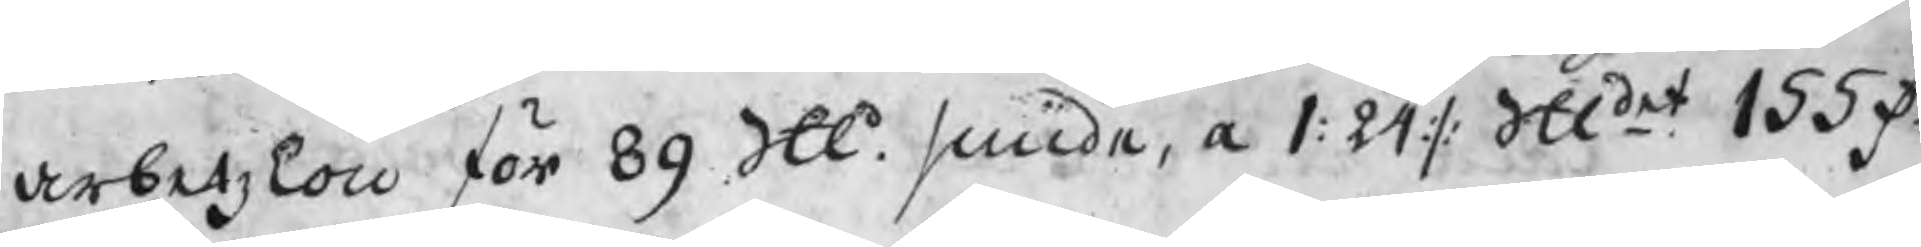arbetzlön för 89 Skl. smide, a 1:24 :/: Skdet. 155 D.
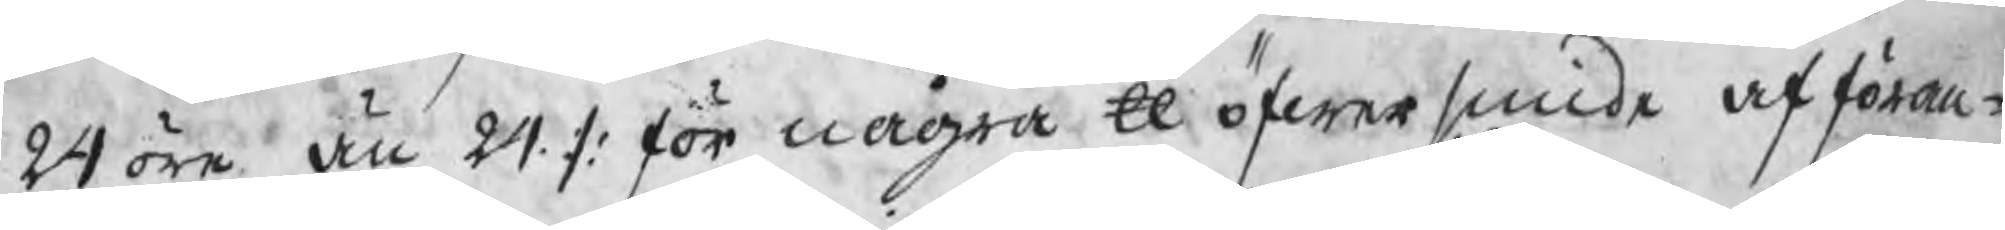24 öre än 24 :/: för några ℔ öfwersmide afföran¬
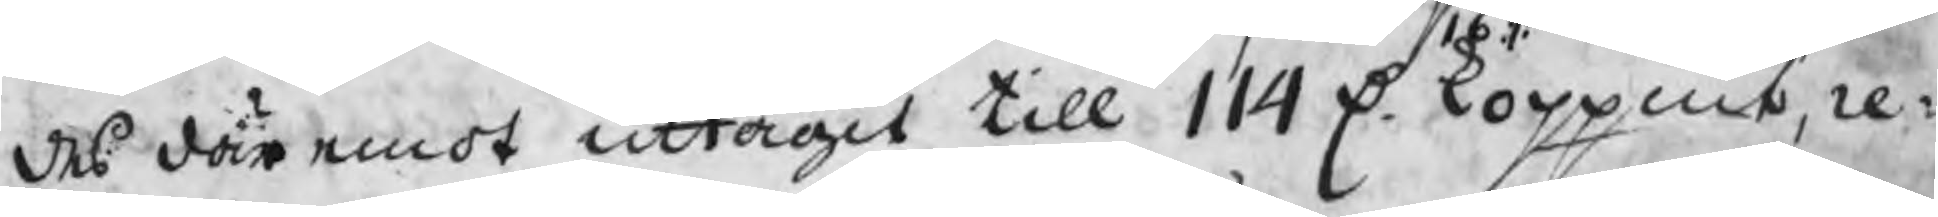des där emot uttagit till 144 D. 16 :/: koppmt, re¬
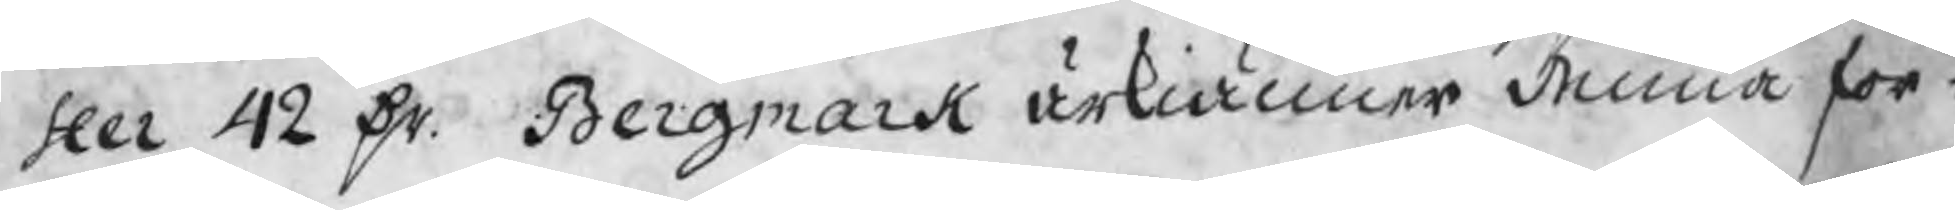ster 42 Dr. Bergmark ärkiänner denna for¬
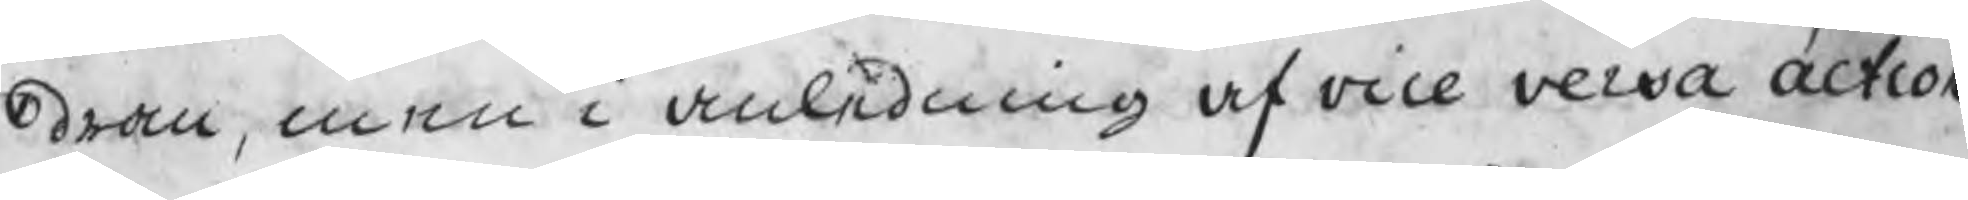dran, men i anledning af vice versa action
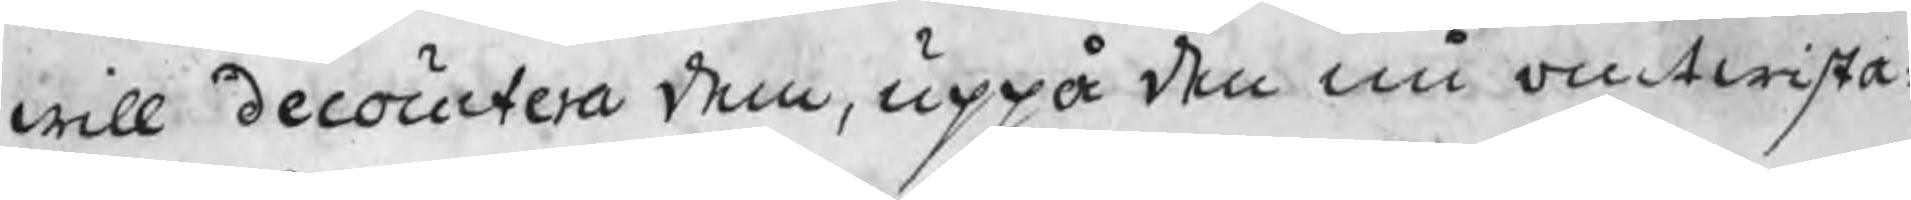will decoutera dem, uppå den nu omtwista¬
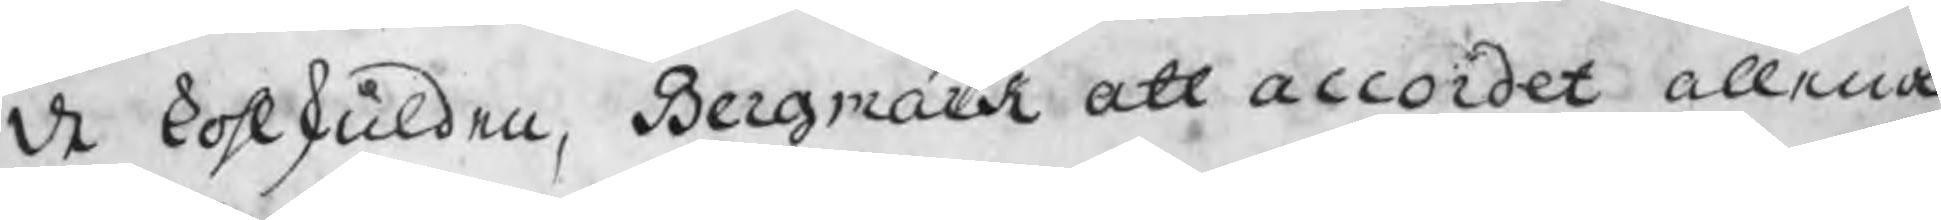de kohlskulden, Bergmark att accordet allena
